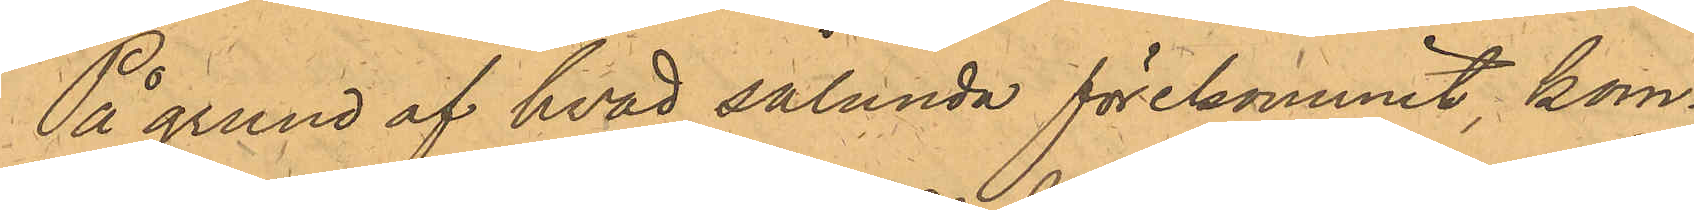På grund af hvad sålunda förekommit, kom¬
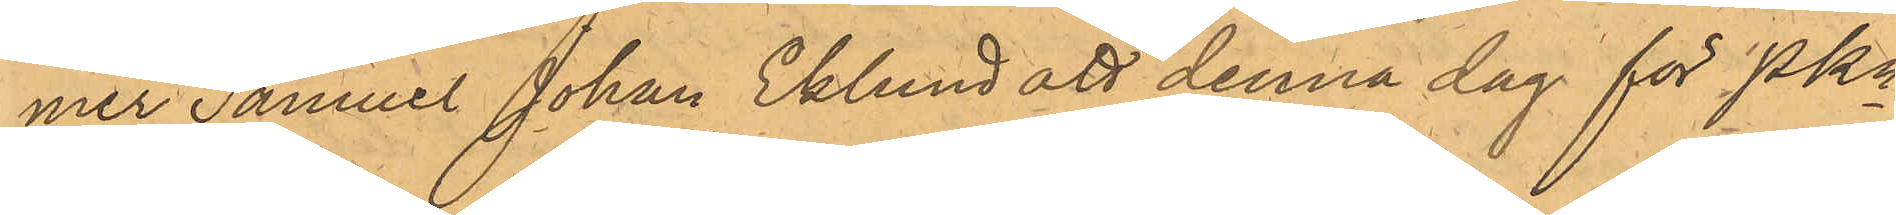mer Samuel Johan Eklund att denna dag för PKn
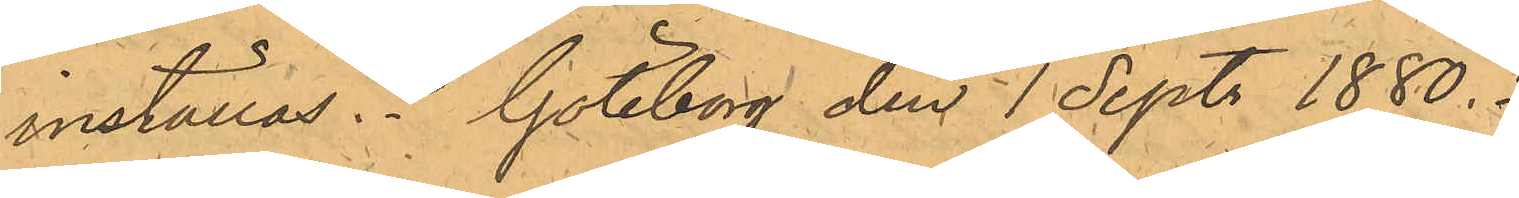inställas. Göteborg den 1 Sept. 1880.
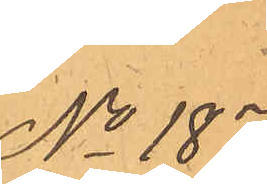No 187.
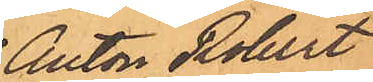Anton Robert
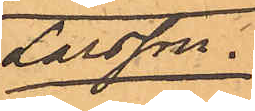Larsson.
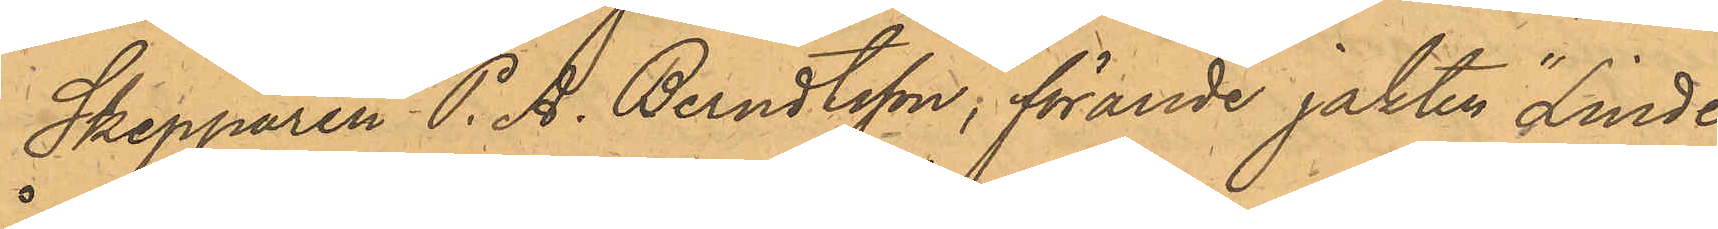Skepparen P. A. Berndtsson, förande jakten "Linde"
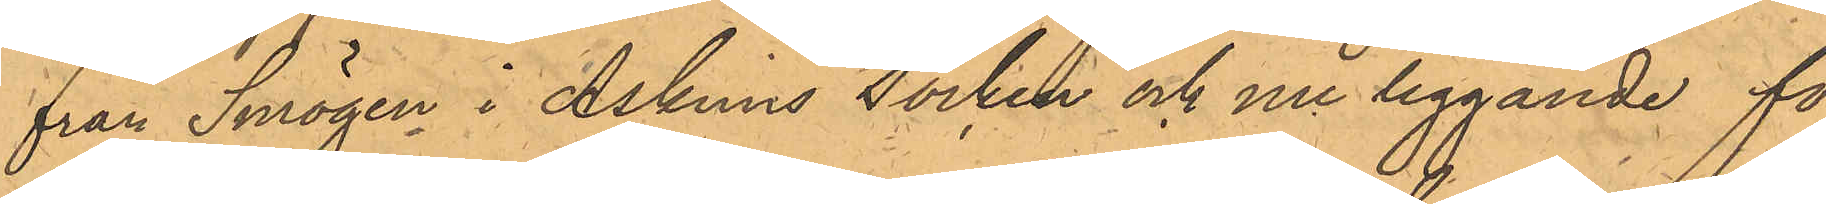från Smögen i Askims Socken och nu liggande för¬
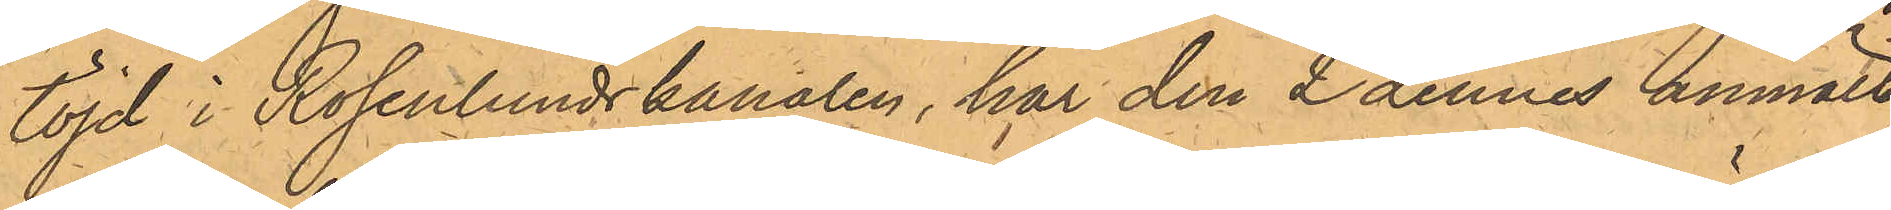töjd i Rosenlundskanalen, har den 2 dennes anmält,
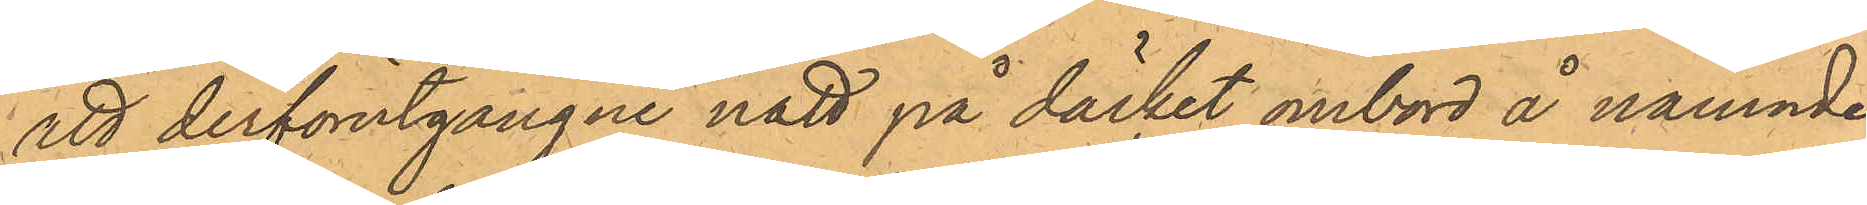att derförutgångne natt på däcket ombord å nämnde
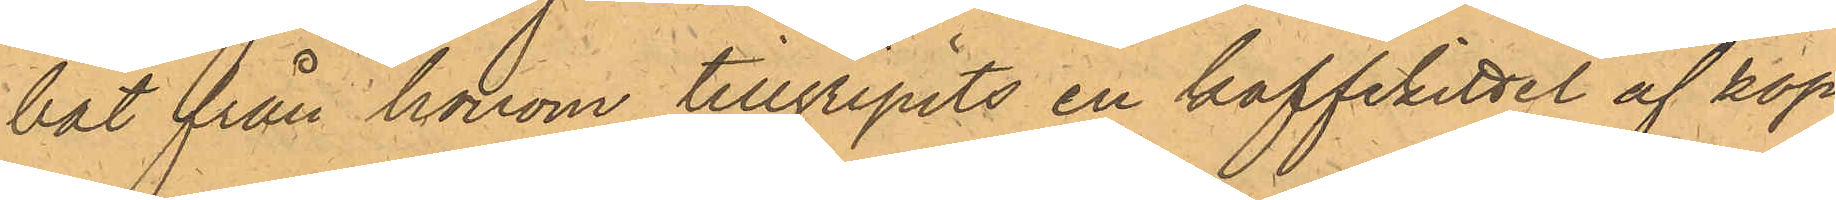bot från honom tillgripits en kaffekittel af kop¬
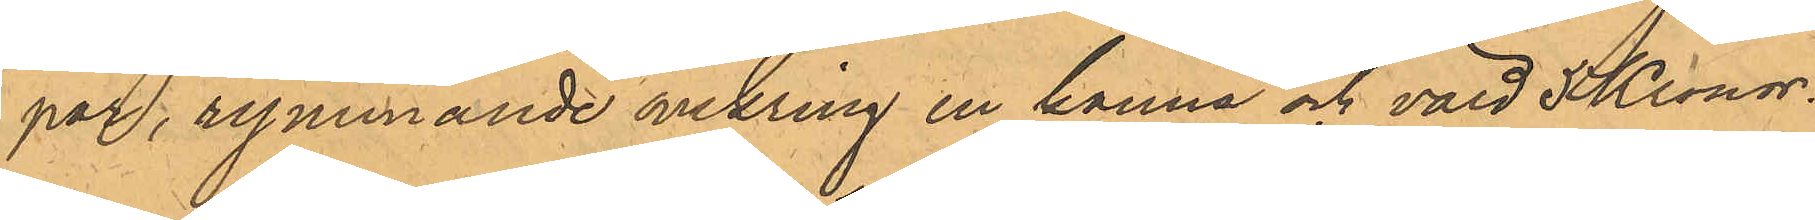par, rymmande omkring en kanna och värd 5 Kronor.
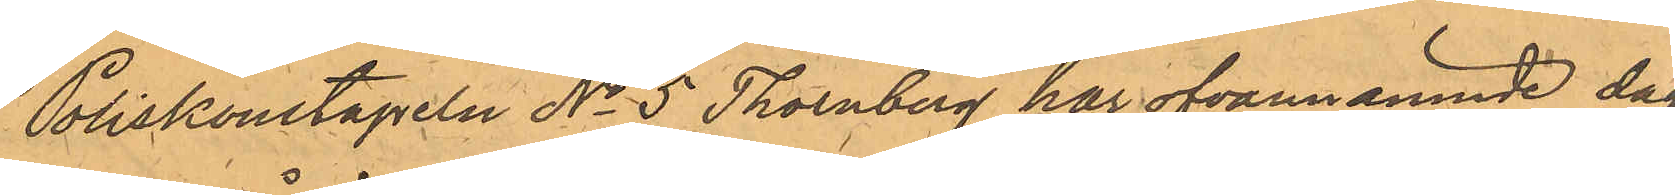Poliskonstapeln No 5 Thornberg har ofvannämnde dag
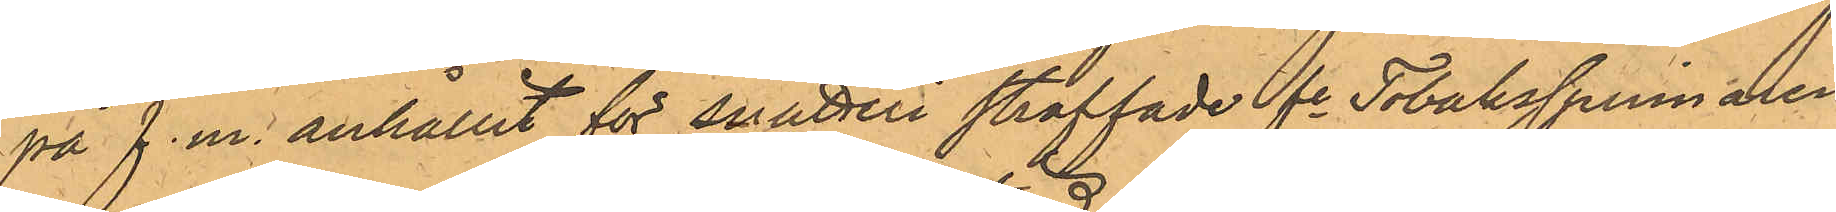på f. m. anhållit för snatteri straffade fe Tobaksspinnaren
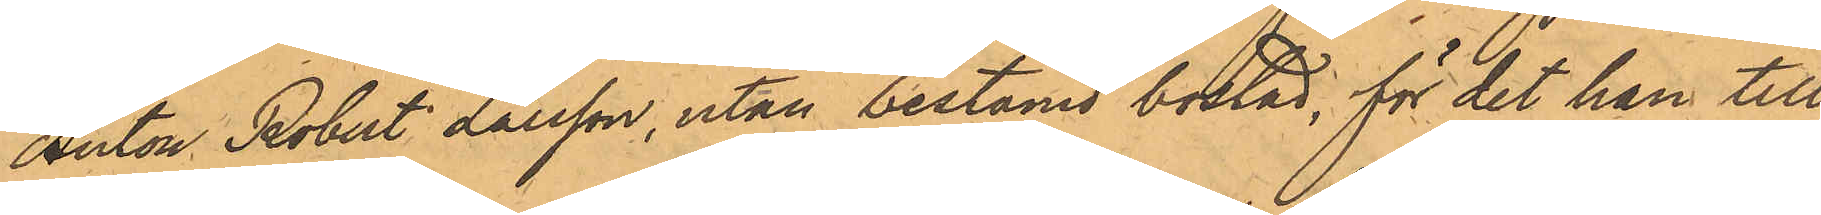Anton Robert Larsson, utan bestämd bostad, för det han till
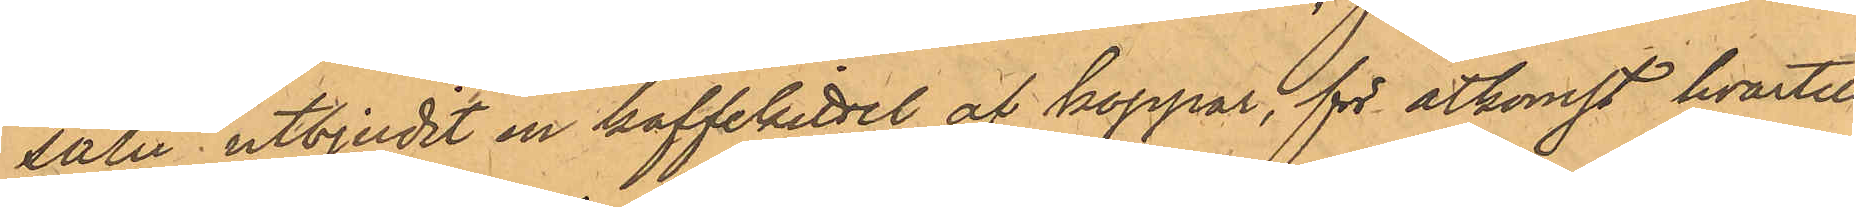salu utbjudit en kaffekittel af koppar, för åtkomst hvartill
